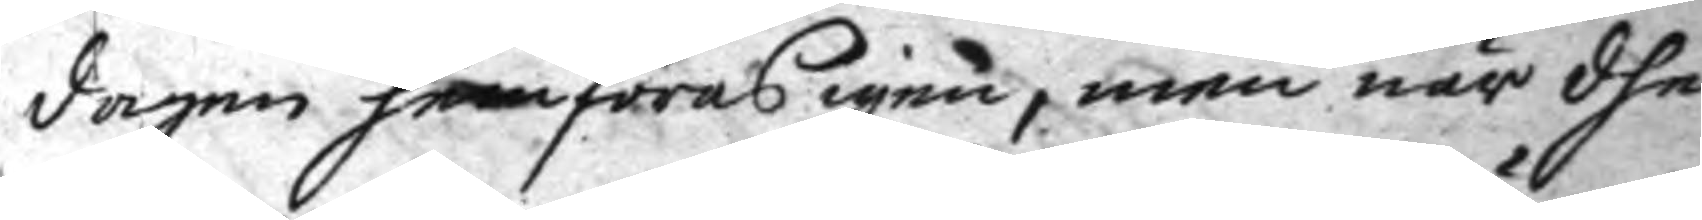dagen framföras igen, men när dhe
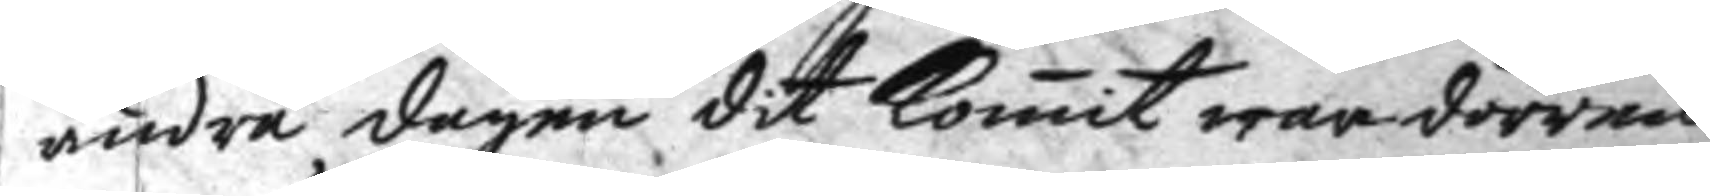andra dagen dit komit war dörren
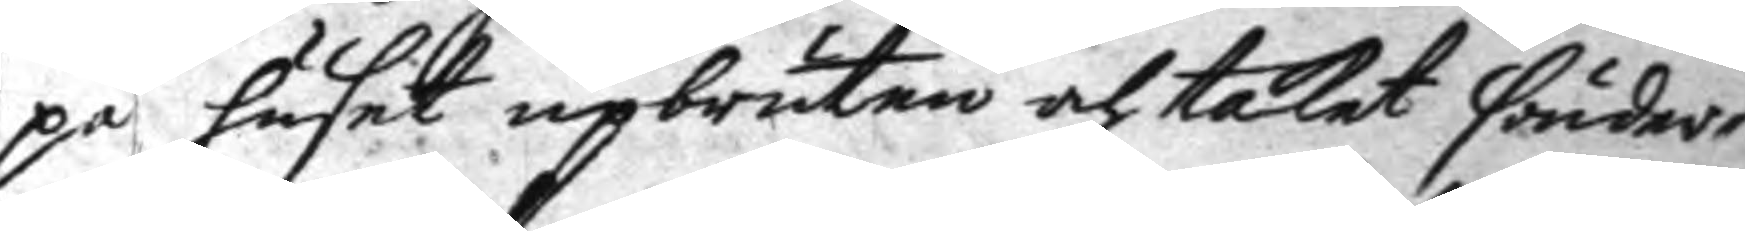på huset upbruten och taket sönder¬
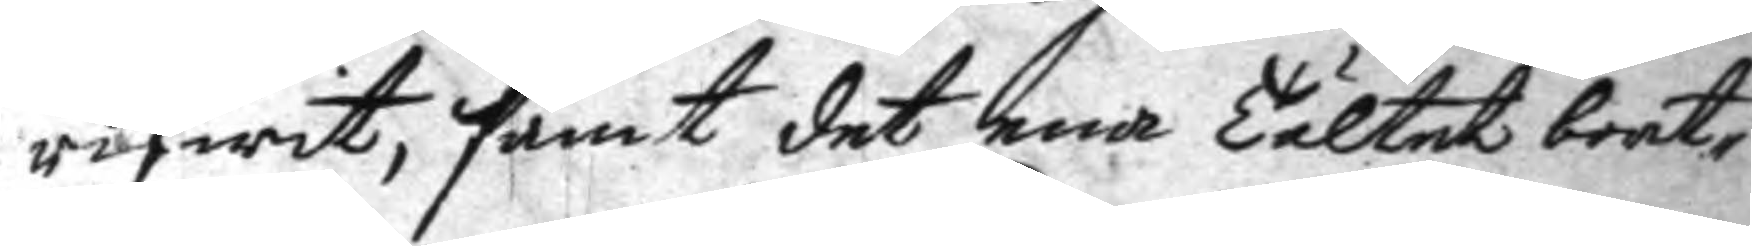rifwit, samt det ena Tältet bort¬
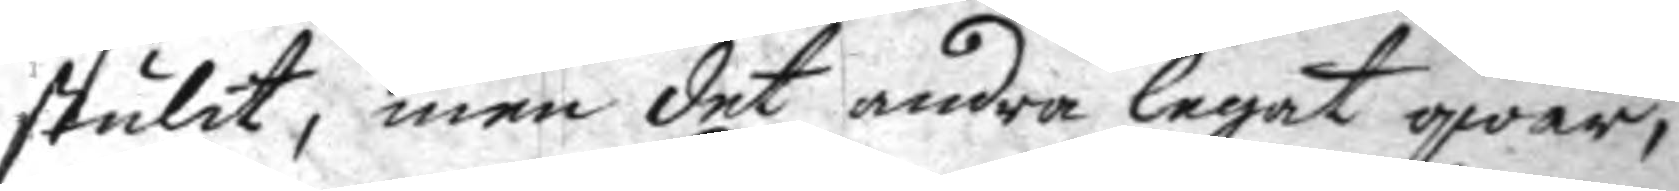stulit, men det andra legat qwar,
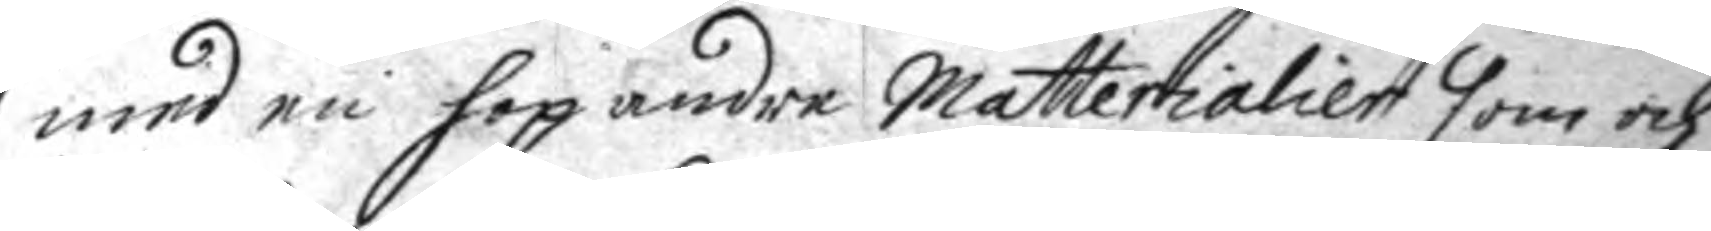med en hop andre Matterialier som och
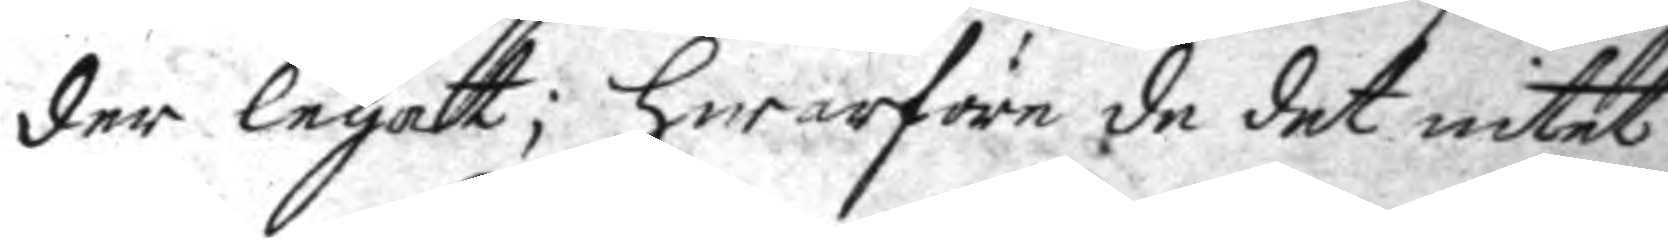der legatt; hwarföre de det intet
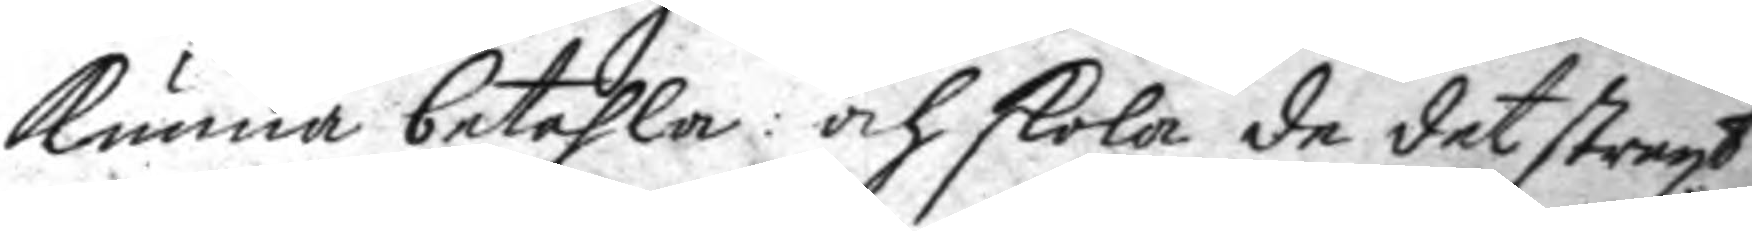kunna betahla: och skola de det straxt
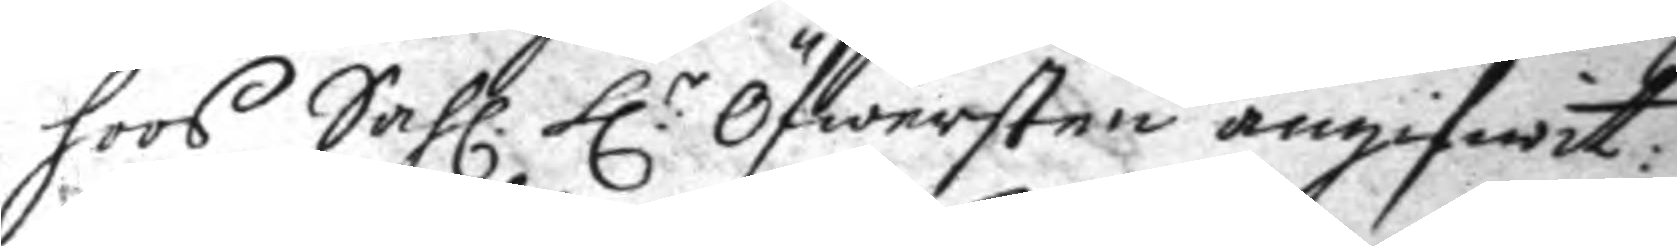hoos Sahl. h:r Öfwersten angifwit:
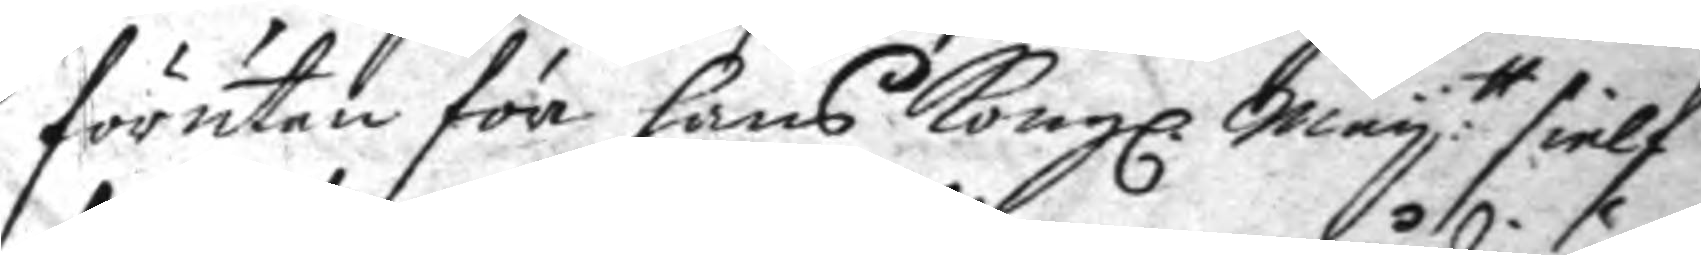förutan för hans Kongl. May:tt sielf
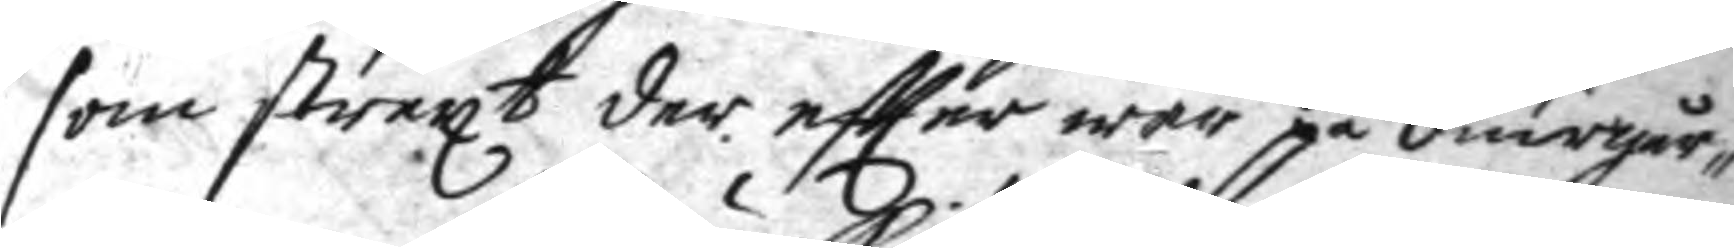som straxt der eftter war på diurgår¬
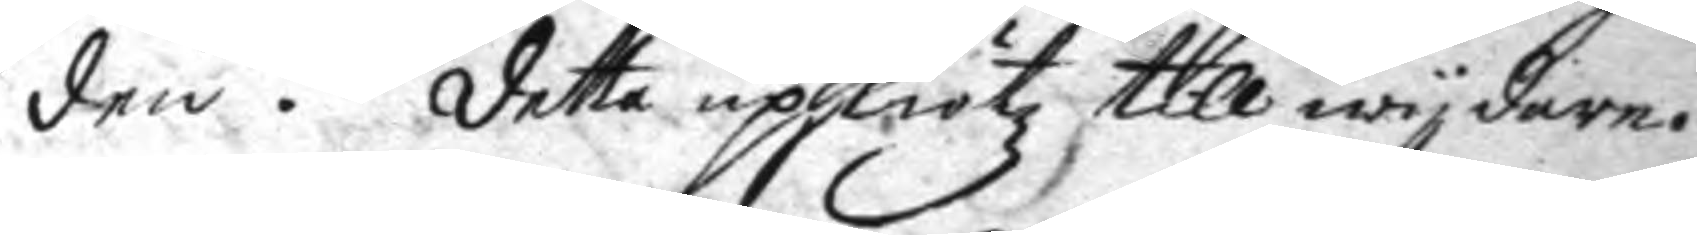den. detta upskiötz till wydare.
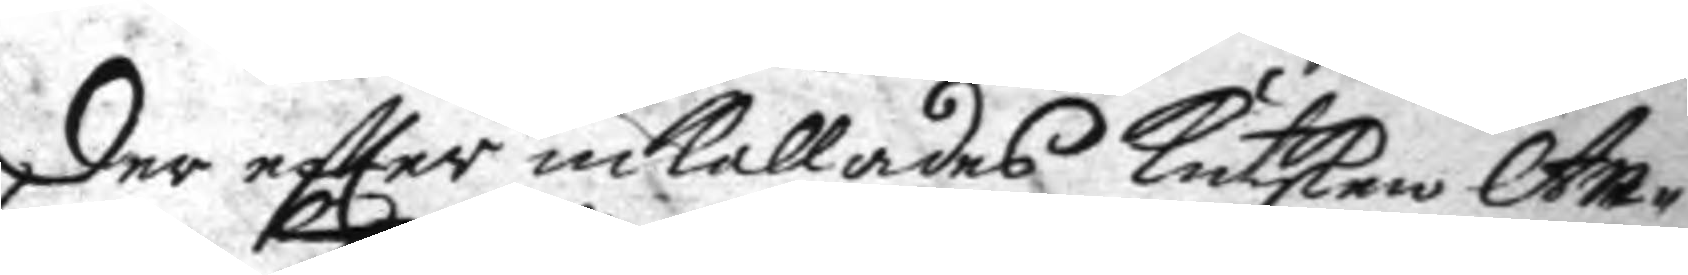der eftter inkallades kusken An¬
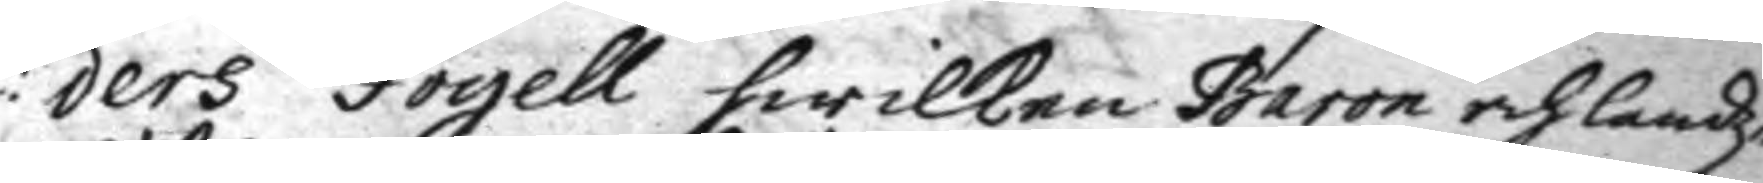ders Fogell hwilken Baron och landz¬
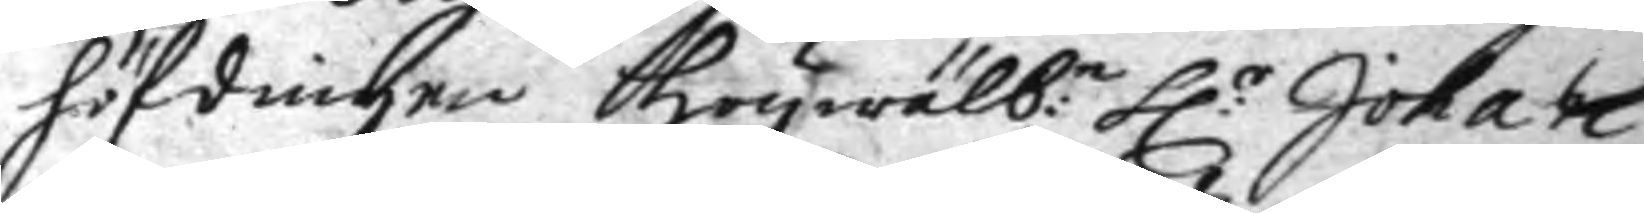höfdingen högwälb:e h:r Johan
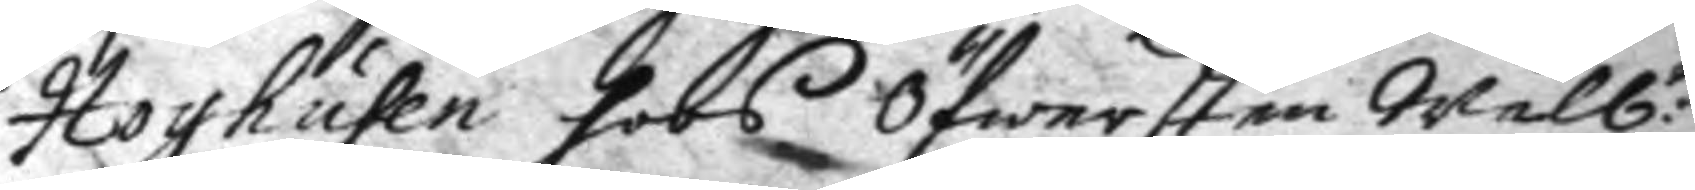Hoyhusen hoos Öfwersten Wälb:e
